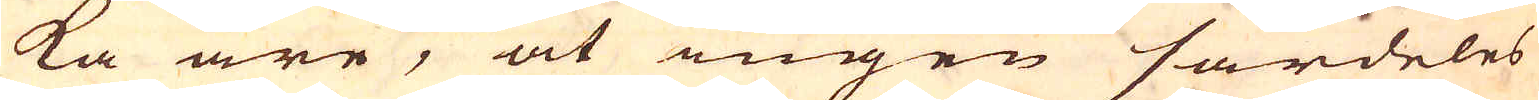ka äre, at ingen särdeles
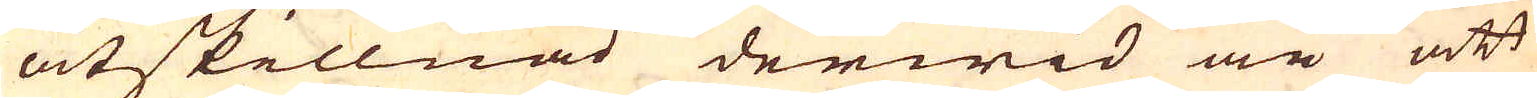åtskillnad derwid är att
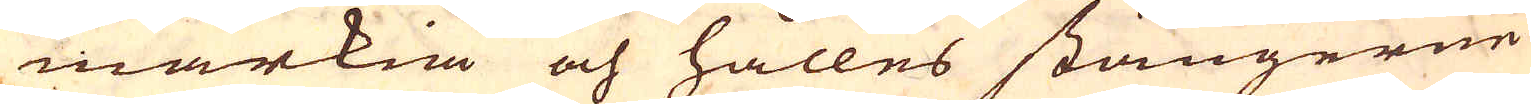märkia och hålles stängerne
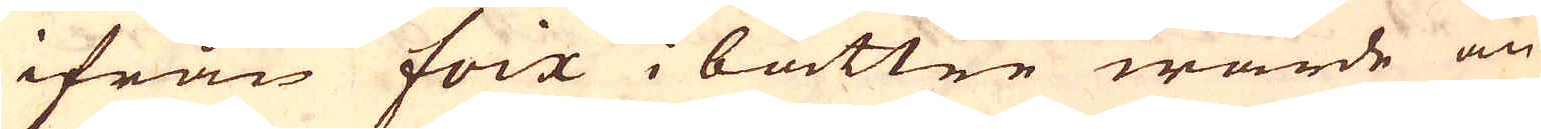ifrån Foix i bättre wärde än
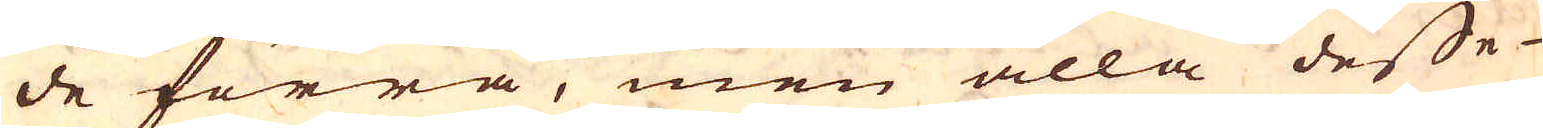de förra, men alla desse
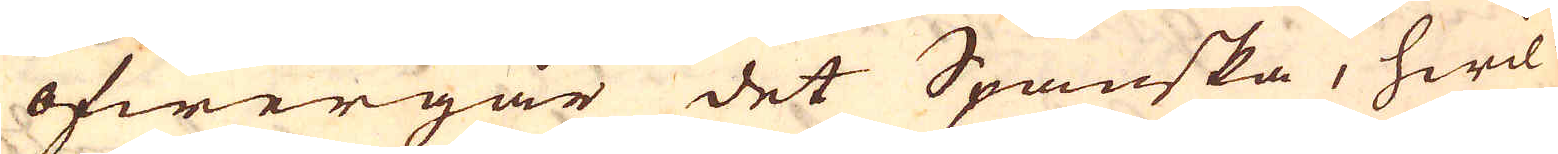öfwergår det Spanska, hwil-
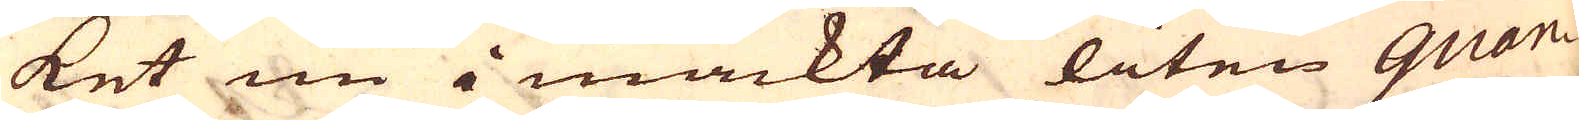ket nu i mäckta liten quan-
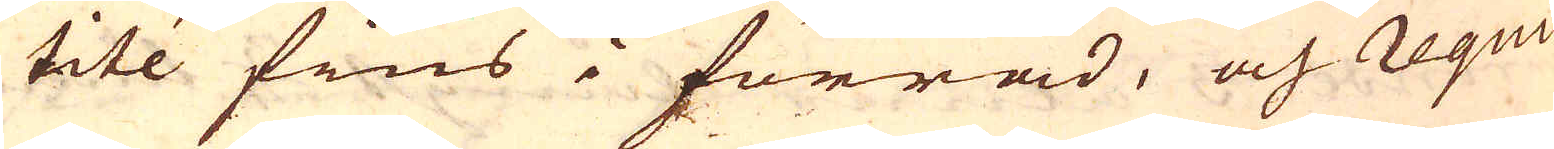tité fins i förråd, och requi-
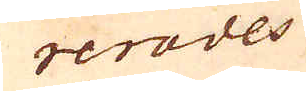rerades
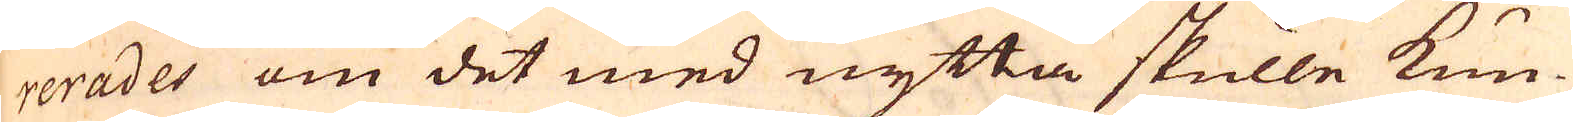rerades om det med nytta skulle kun-
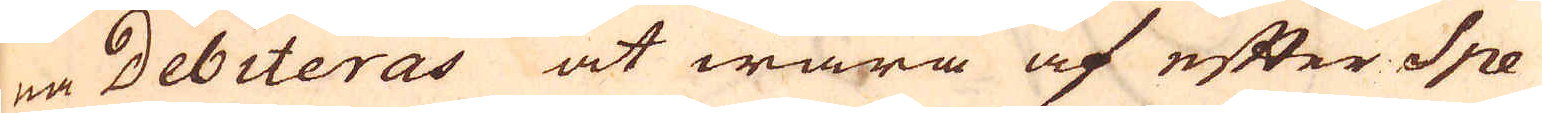na Debiteras at wara af efter Spe-
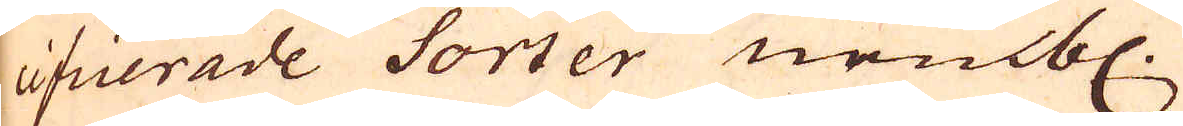cificerade Sorter nembl.
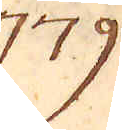779.
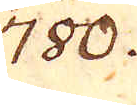780.
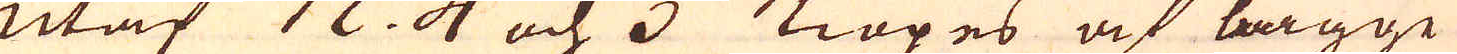utaf n:o 4 och 5 Kiöpes af bägge
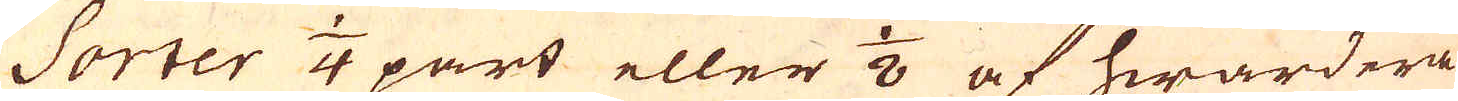Sorter 1/4 part eller 1/8 af hwardera
